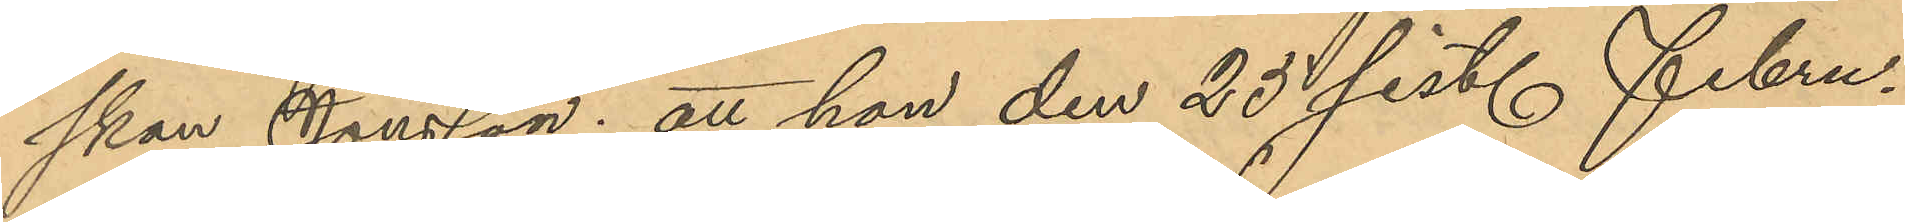skan Jonsson; att hon den 25 sist. Febru¬
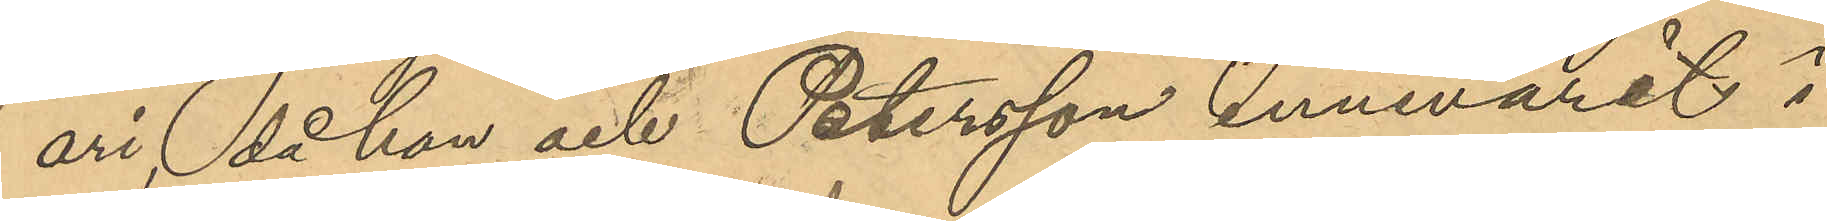ari då hon och Petersson innevarit i
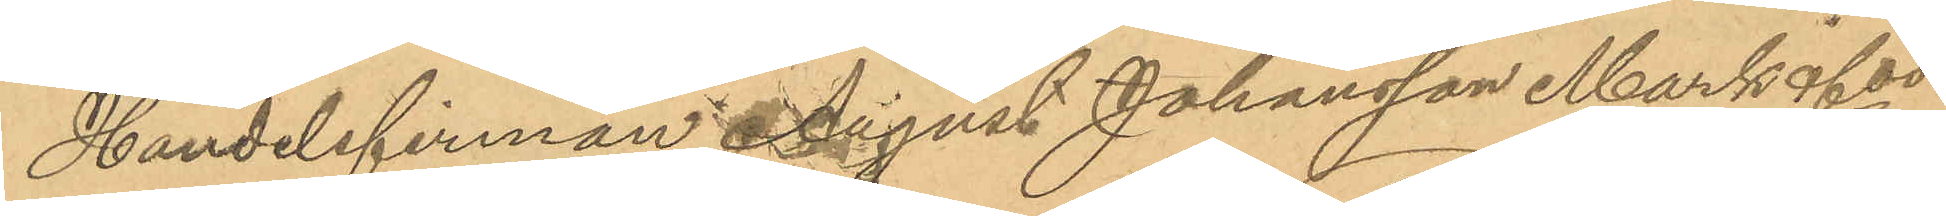Handelsfirman August Johansson Mark & Cos
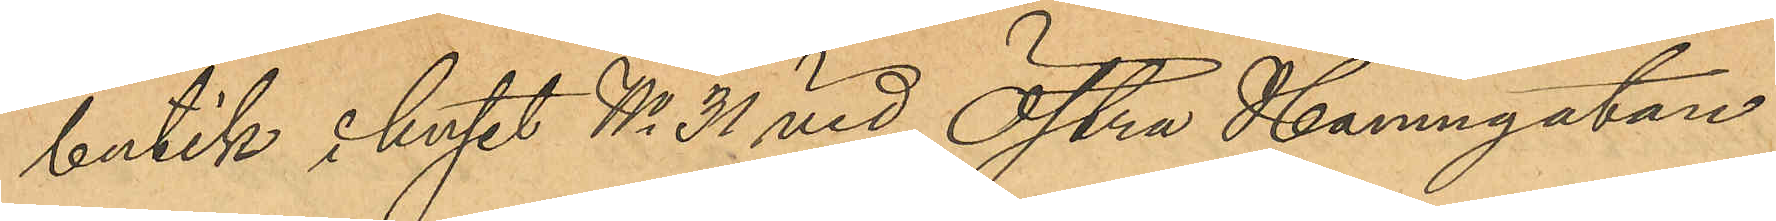butik i huset No 31 vid Östra Hamngatan
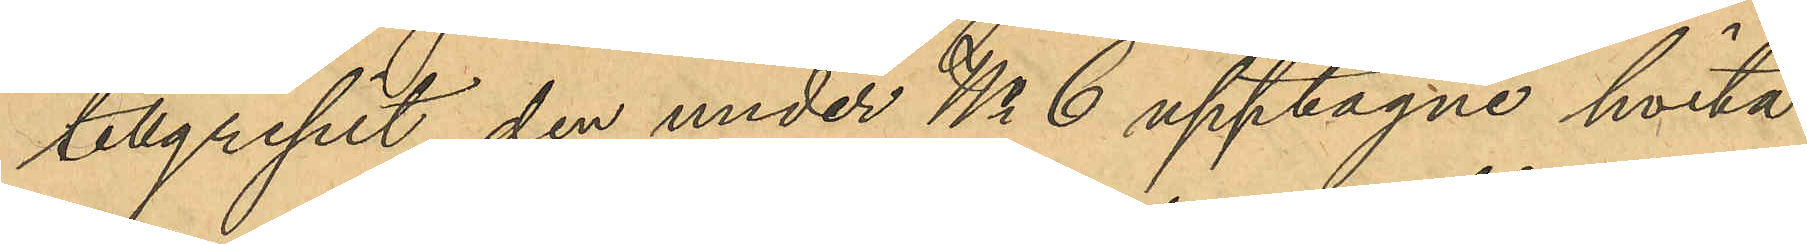tillgripit den under No 6 upptagne hvita
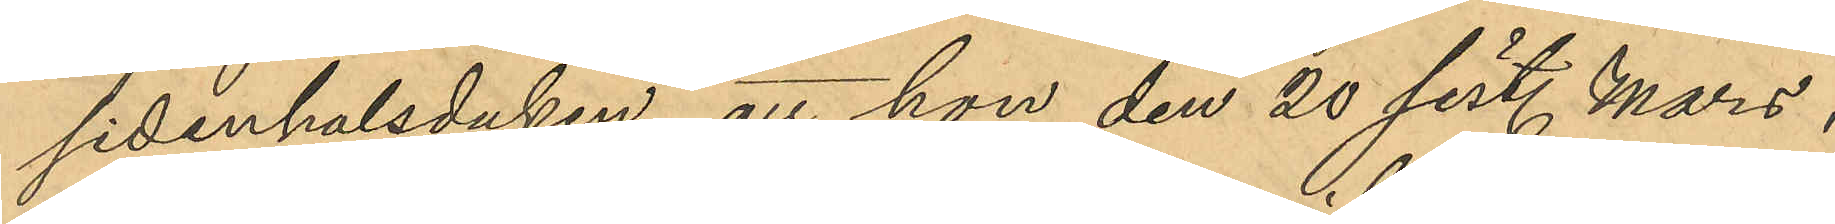sidenhalsduken; att hon den 20 sist. Mars,
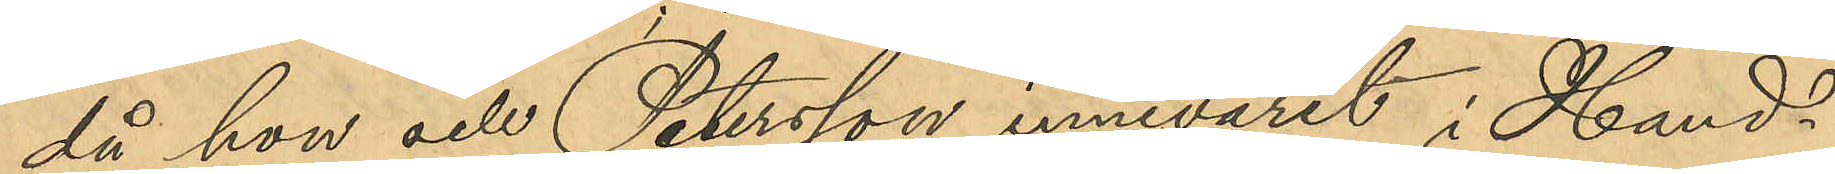då hon och Petersson innevarit i Hand¬
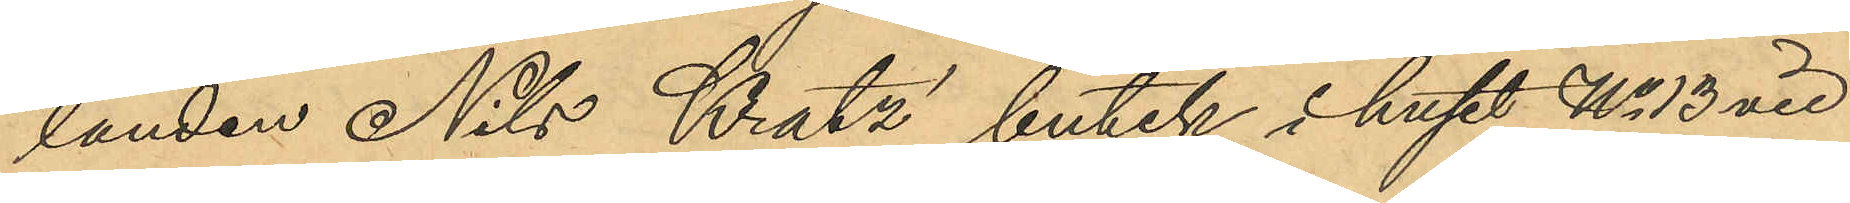landen Nils Kratz´ butik i huset No 13 vid
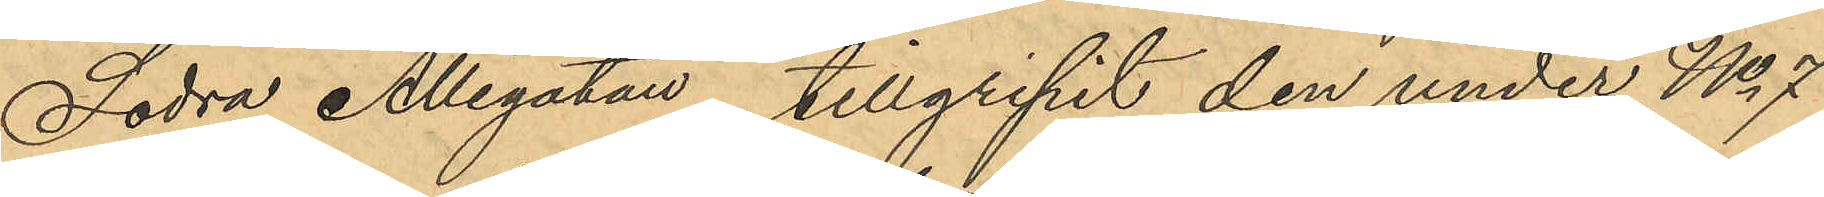Södra Allégatan, tillgripit den under No 7
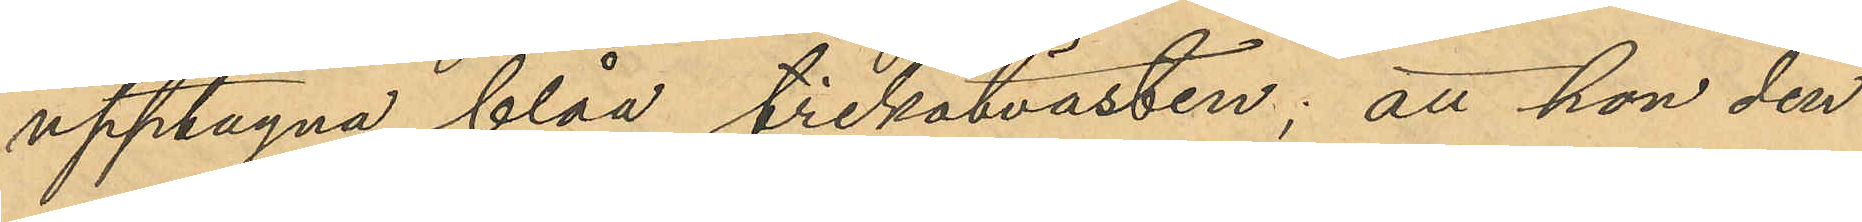upptagna blåa trikotvästen; att hon den
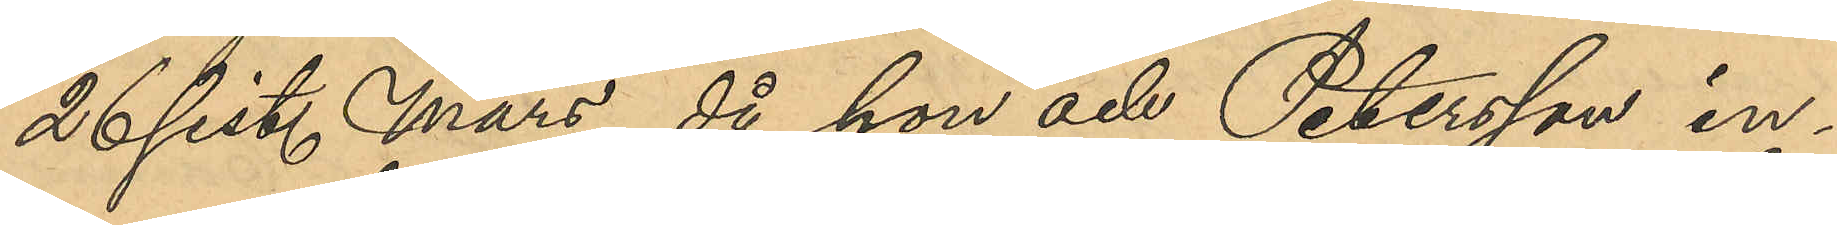26 sist. Mars, då hon och Petersson in¬
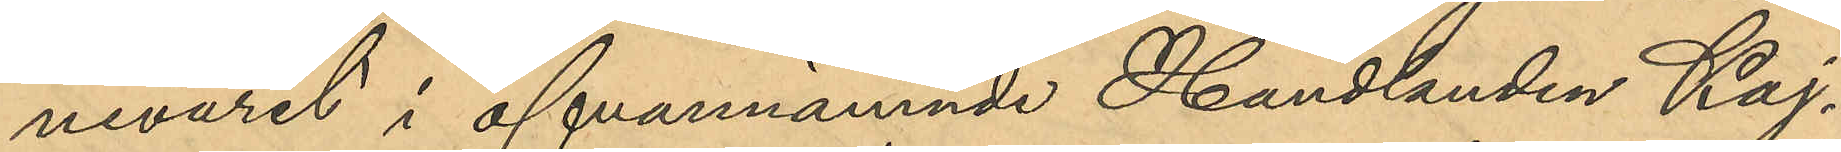nevarit i ofvannämnde Handlanden Kaj¬
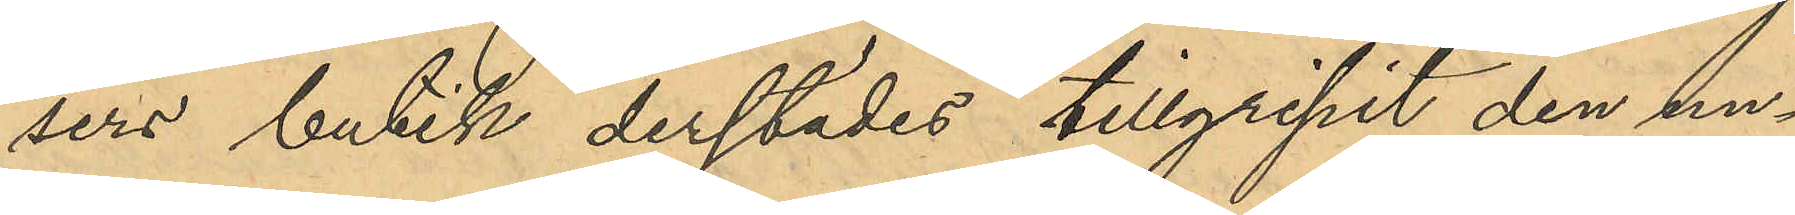sers butik derstädes tillgripit den un¬
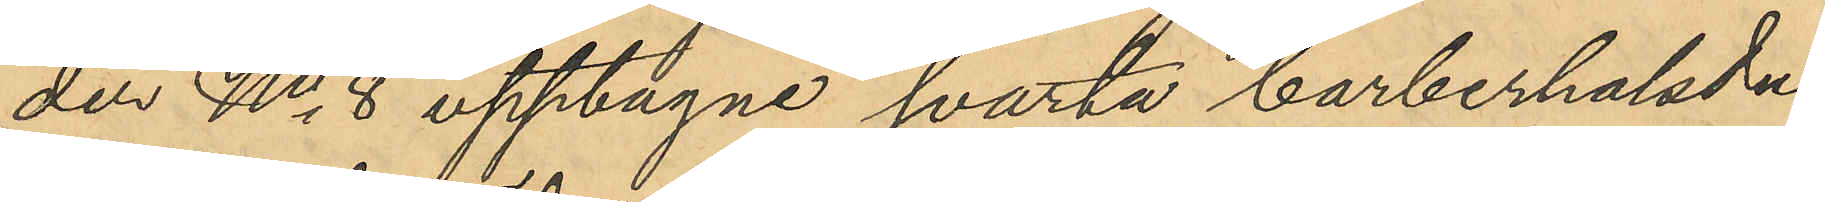der No 8 upptagne svarta barberhalsdu¬
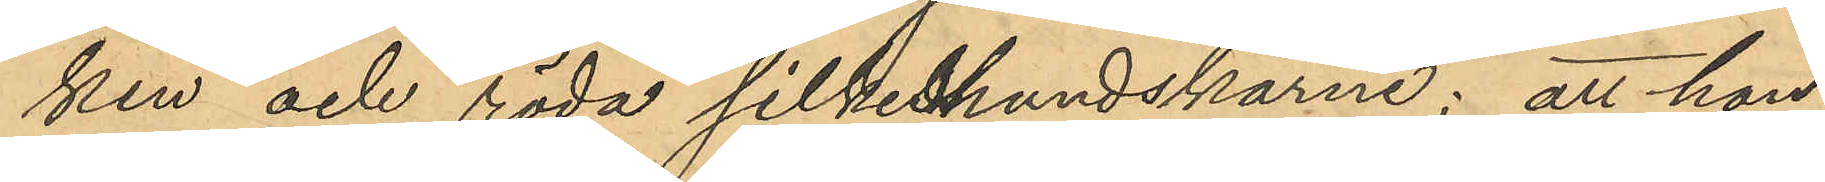ken och röda silkeshandskarne; att hon
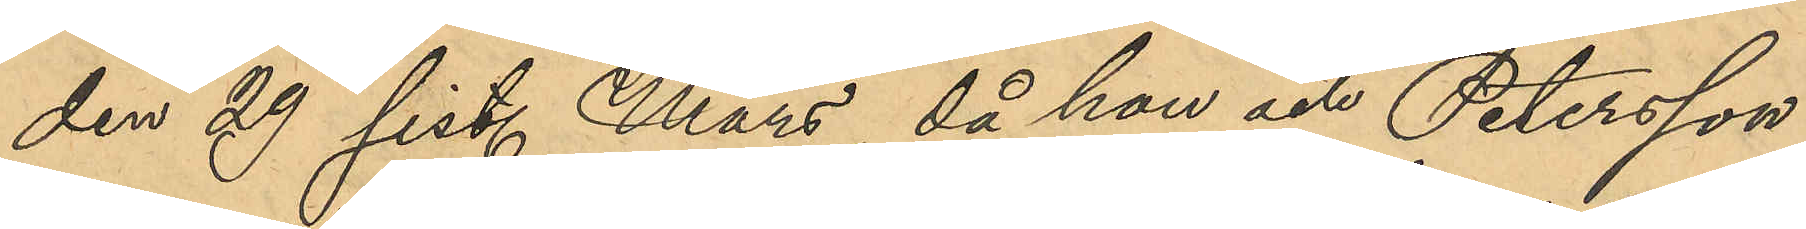den 29 sist. Mars, då hon och Petersson
